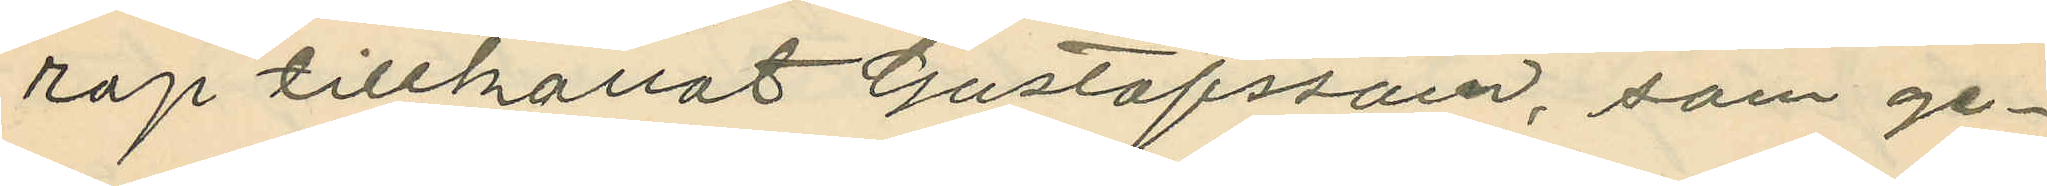rop tillkallat Gustafsson, som ge¬
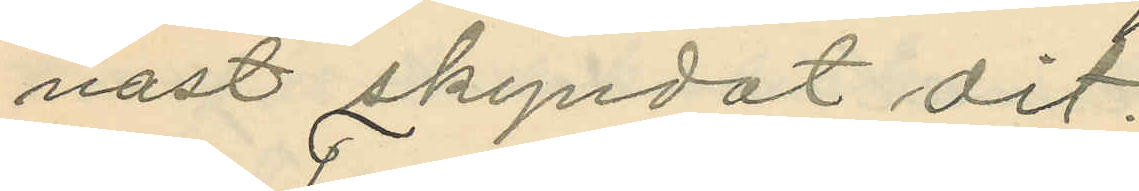nast skyndat dit;
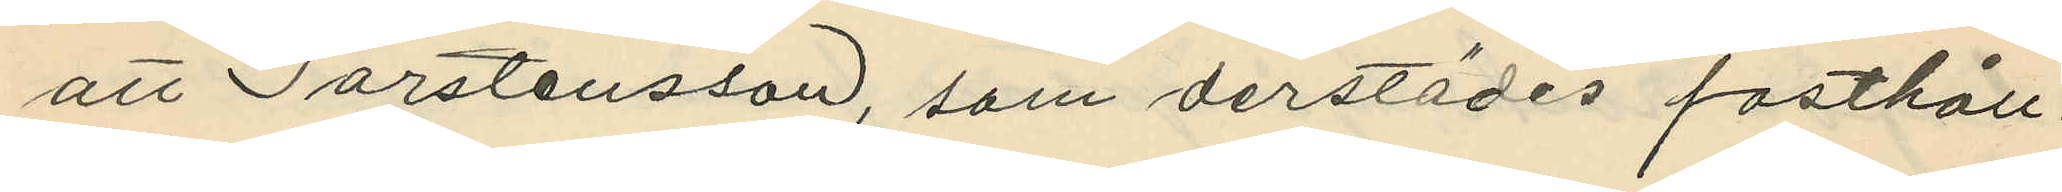att Torstensson, som derstädes fasthåll¬
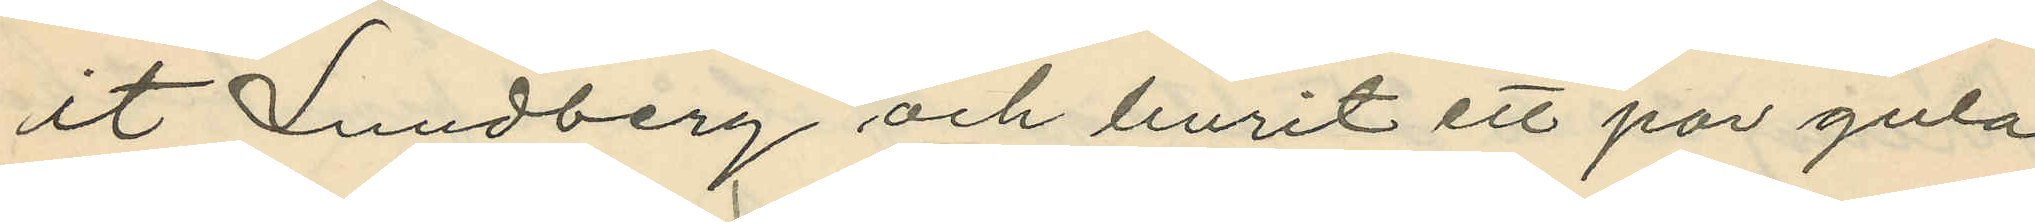it Lundberg och burit ett par gula
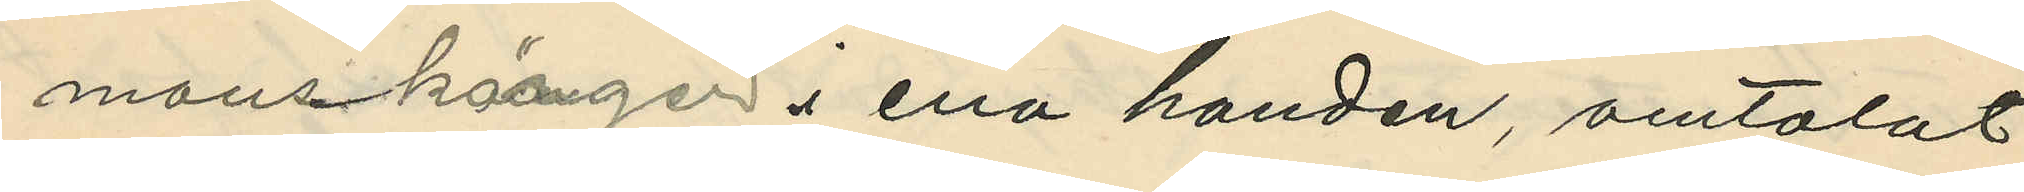manskänger i ena handen, omtalat
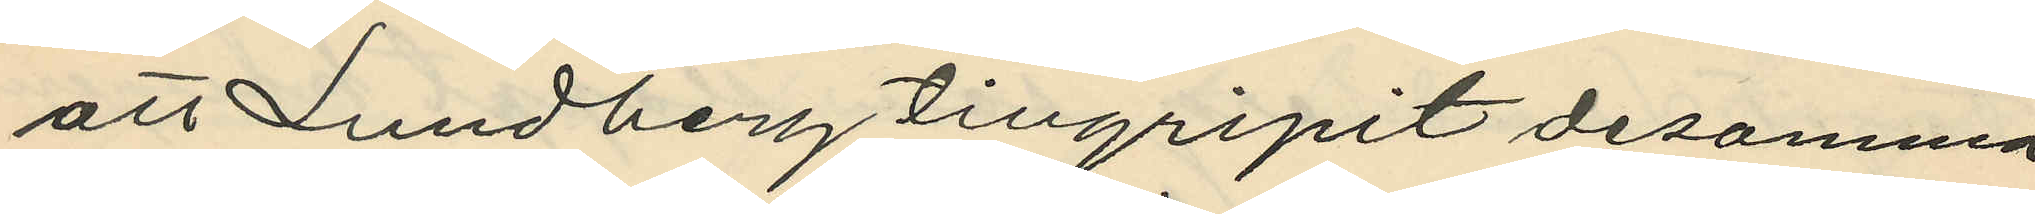att Lundberg tillgripit desamma
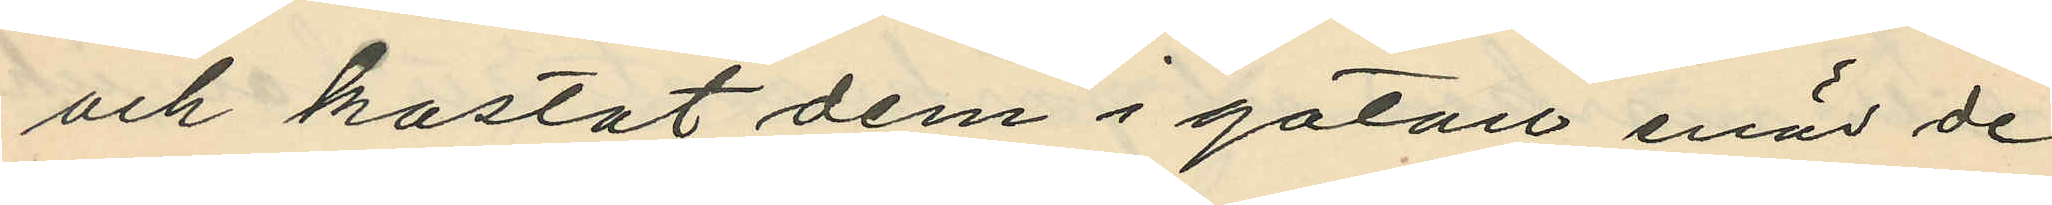och kastat dem i gatan enär de
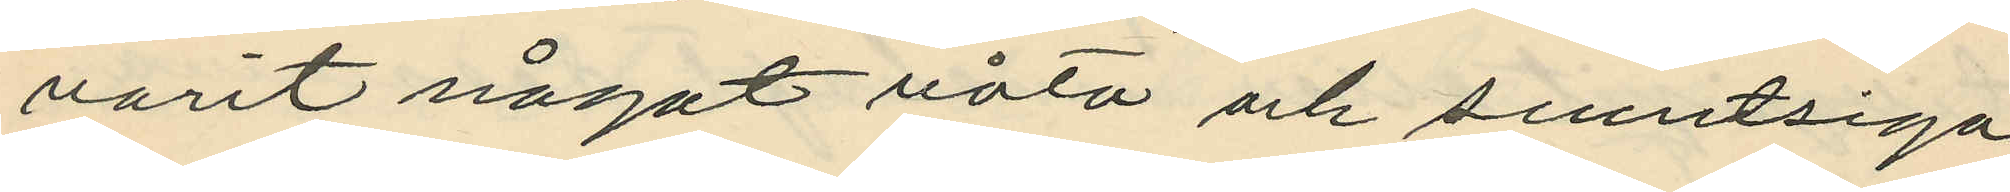varit något våta och smutsiga,
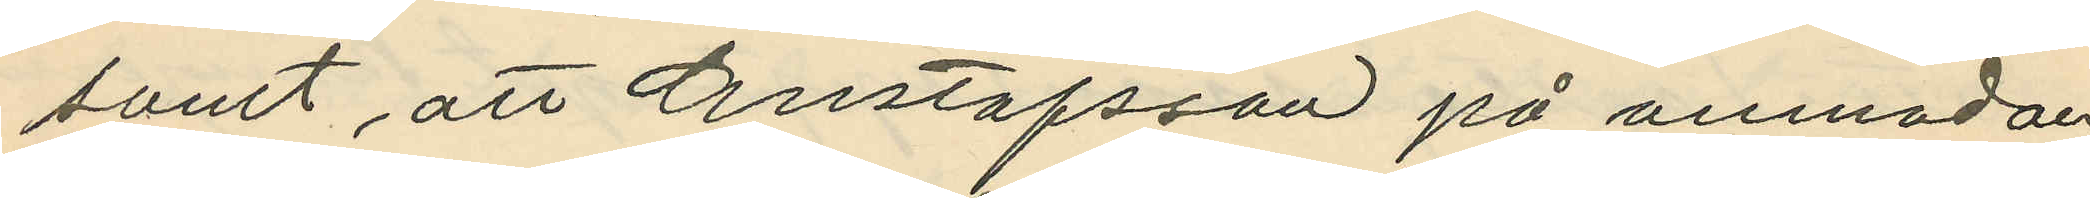samt att Gustafsson på anmodan
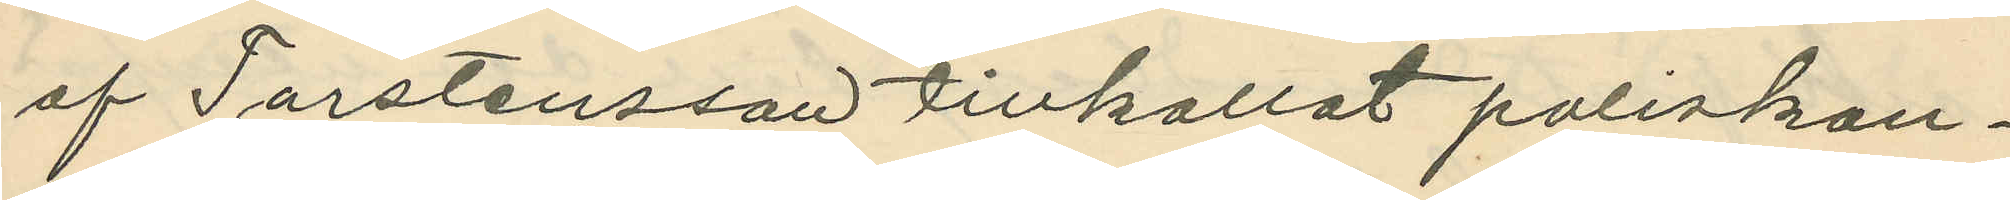af Torstensson tillkallat poliskon¬
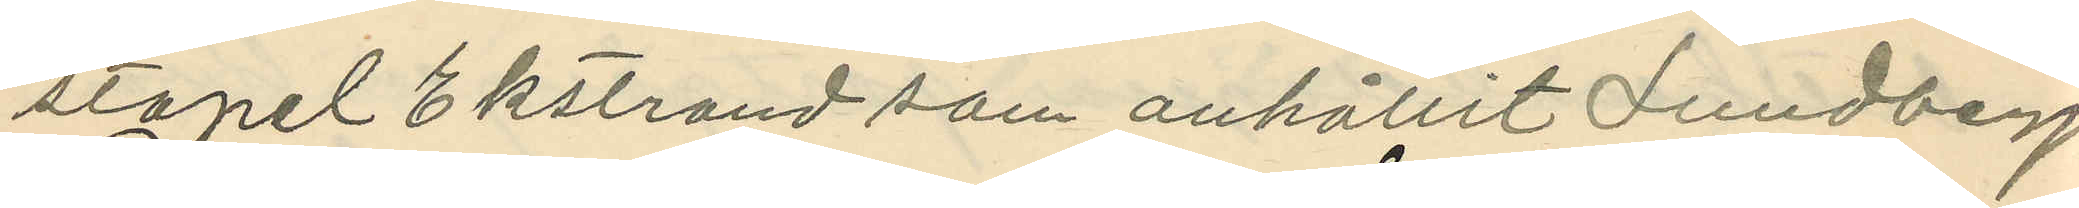stapel Ekstrand som anhållit Lundberg
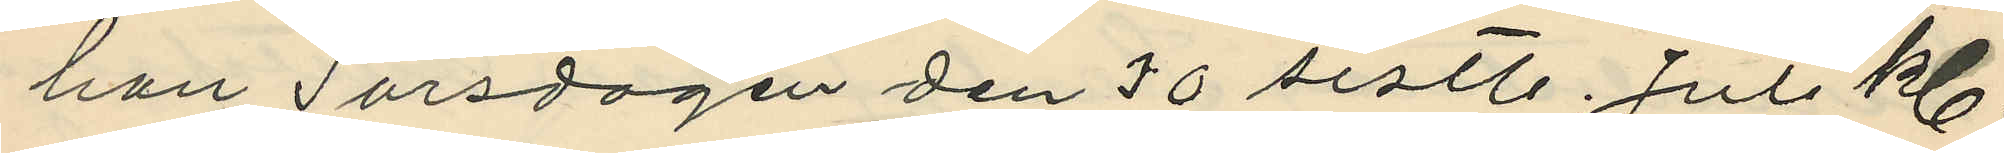han Torsdagen den 30 sistl. Juli kl.
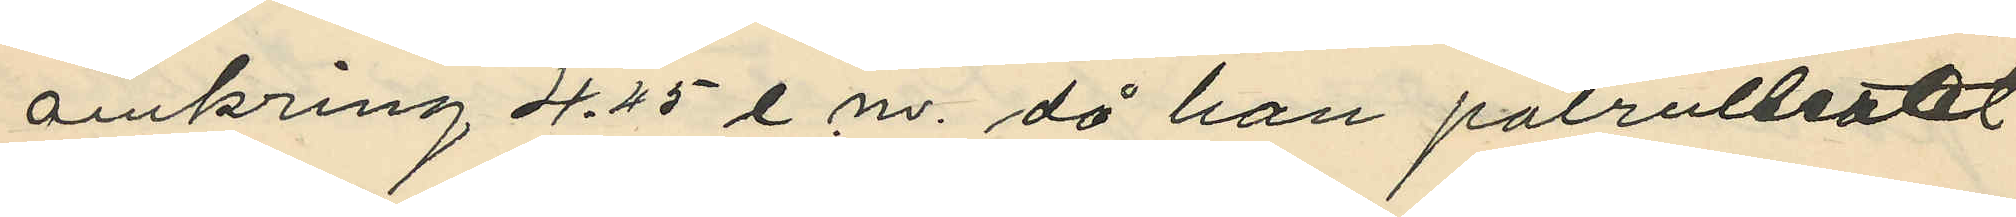omkring 4.45 e. m. då han patrullerat
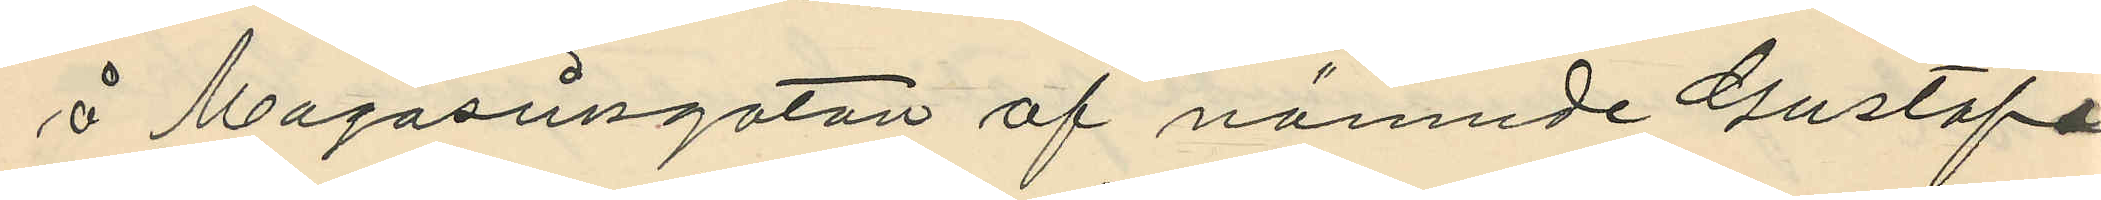å Magasinsgatan af nämnde Gustafs¬
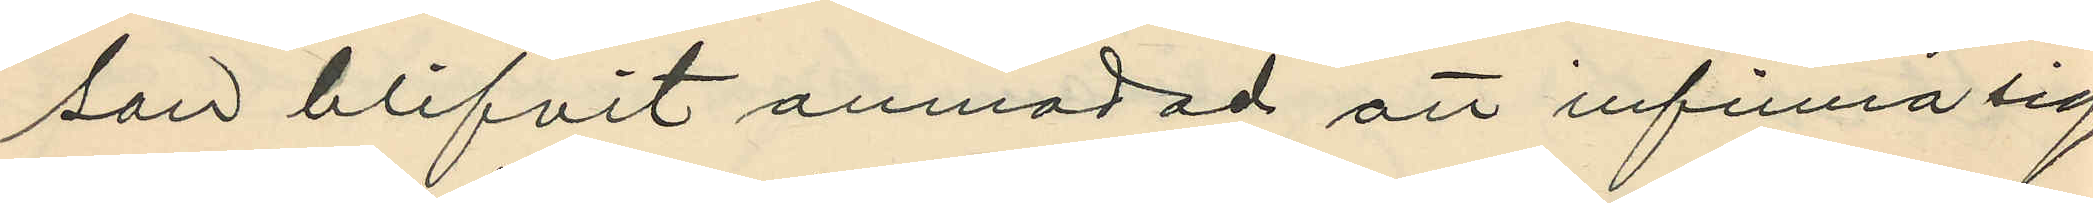son blifvit anmodad att infinna sig
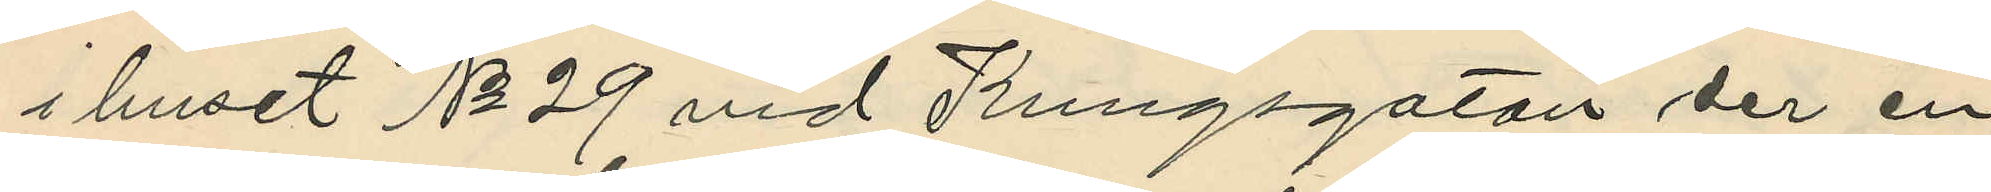i huset No 29 vid Kungsgatan der en
